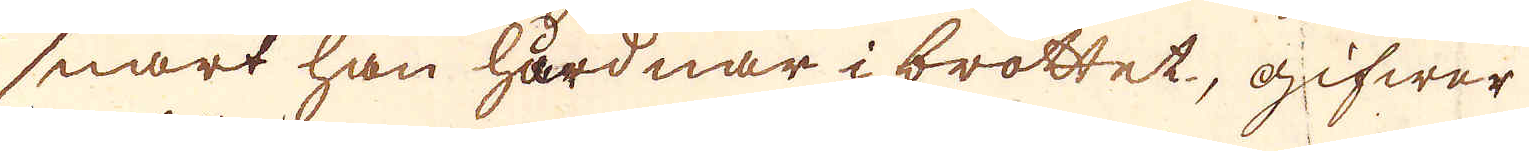snart han hårdnar i brottet, gifwer
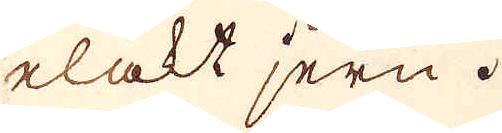elakt jern.
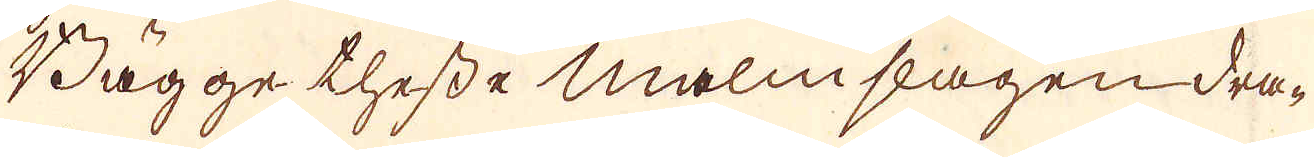Bägge thesse malmslagen dra-
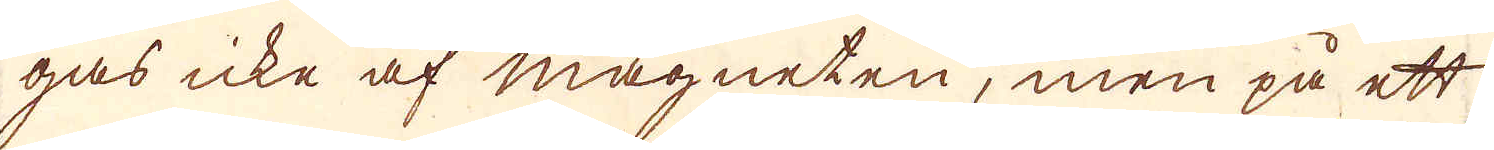gas icke af magneten, men på ett
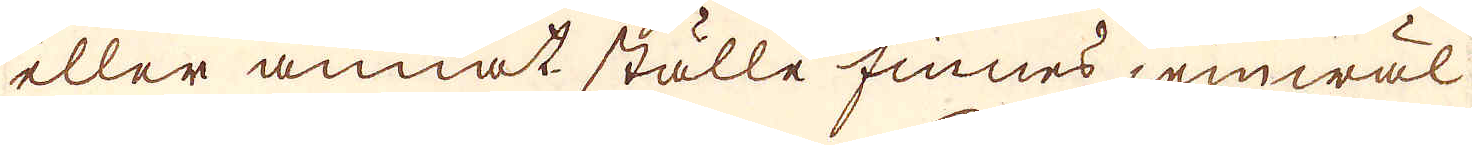eller annat ställe finnes, jemwäl
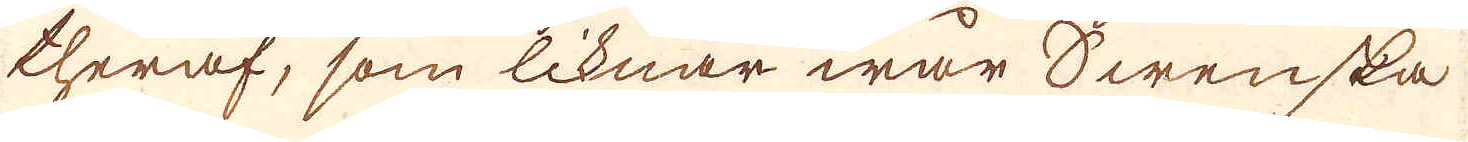theraf, som liknar wår Swenska
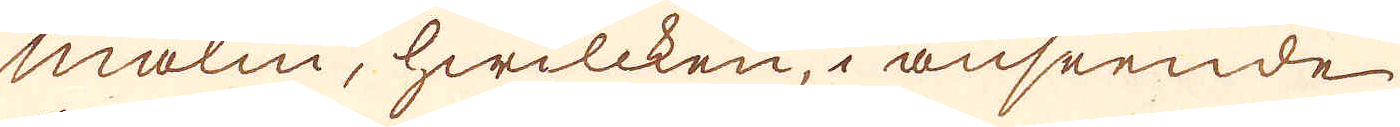malm, hwilcken, i anseende
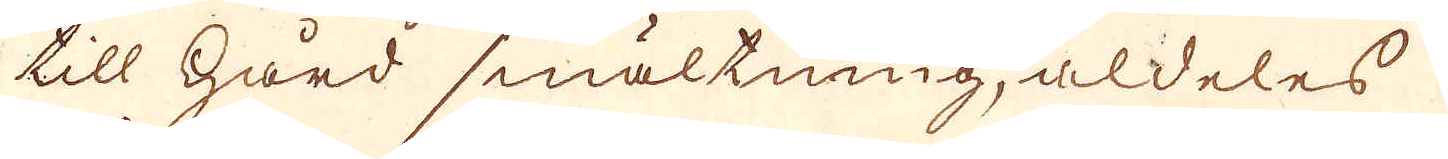till hård smältning, aldeles
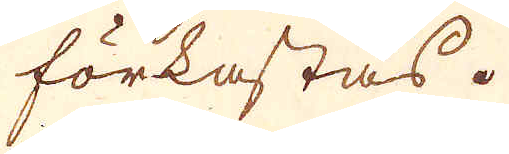förkastas.
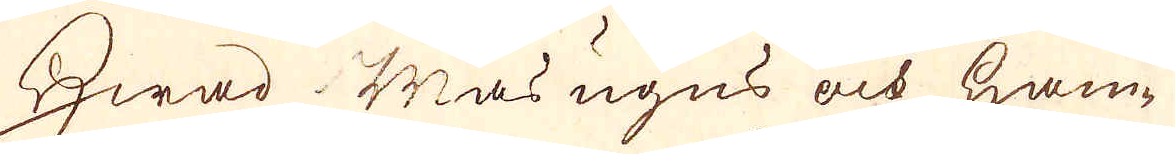Hwad mas ugns och ham-
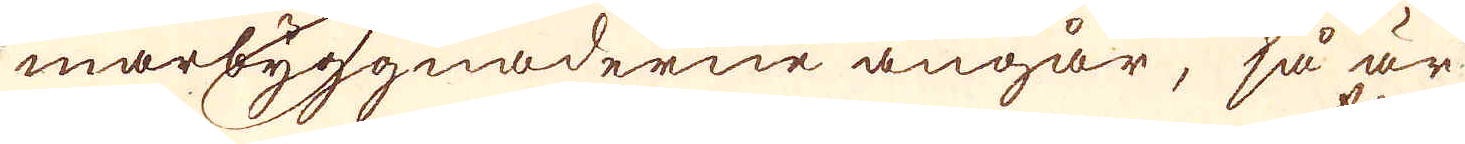marbyggnaderne angår, så är
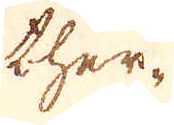ther-
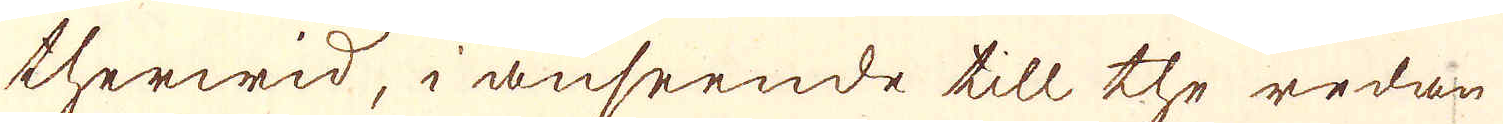therwid, i anseende till the redan
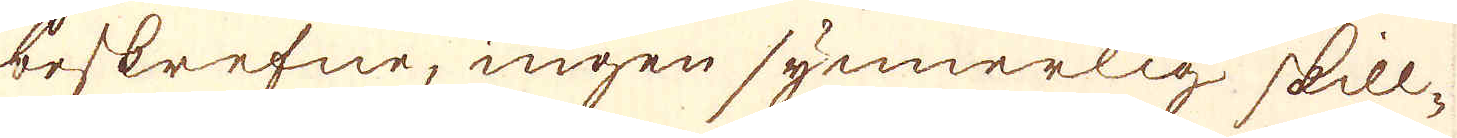beskrefne, ingen synnerlig skill-
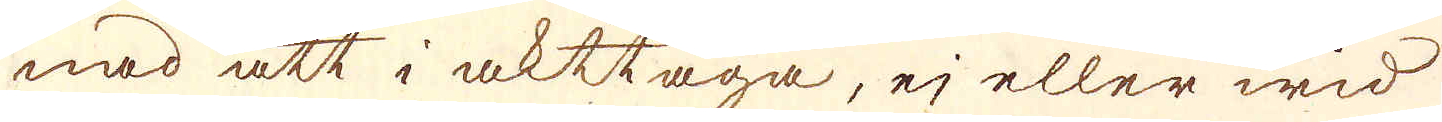nad att i akttaga, ej eller wid
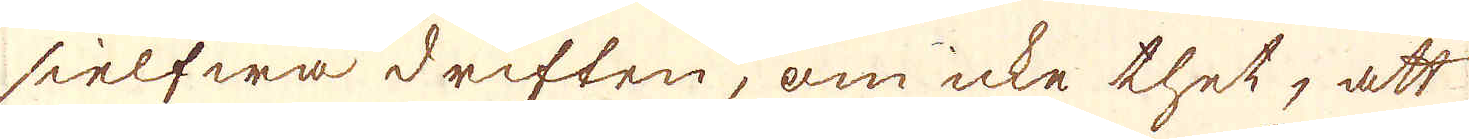sielfwa driften, om icke thet, att
